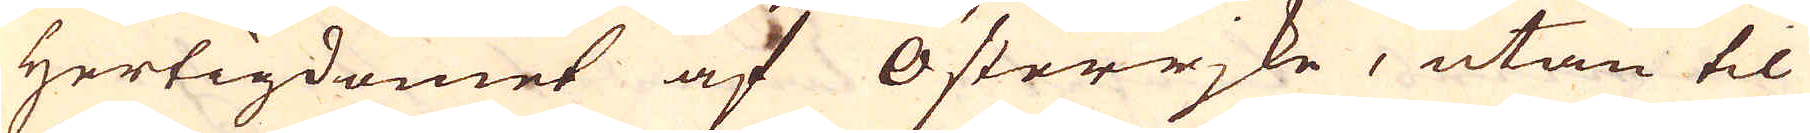Hertigdömet af Österrjke, utan til
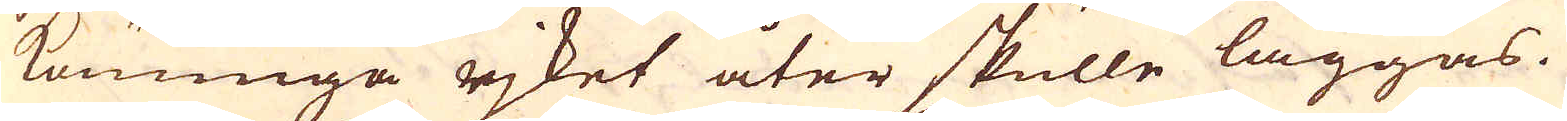Konunga rjket åter skulle läggas.
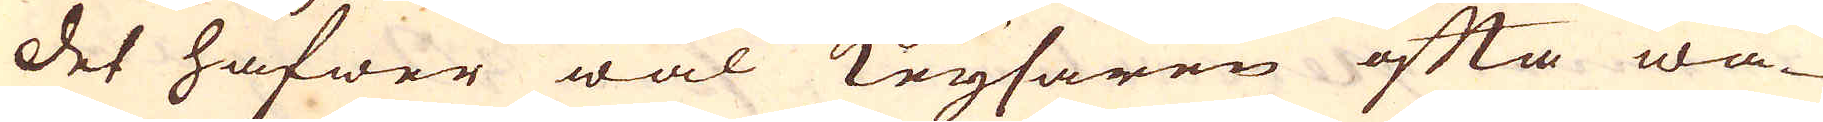Det hafwer wäl Keysaren ofta wa-
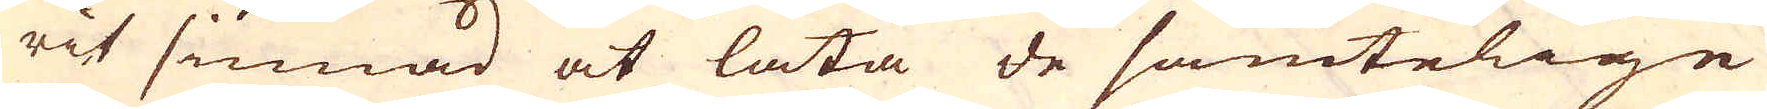rit sinnad at låta de samtelige
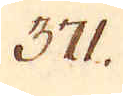371.
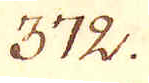372.
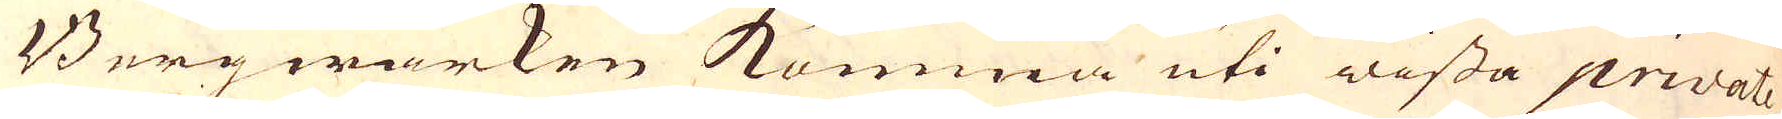Bergwärken komma uti wissa private
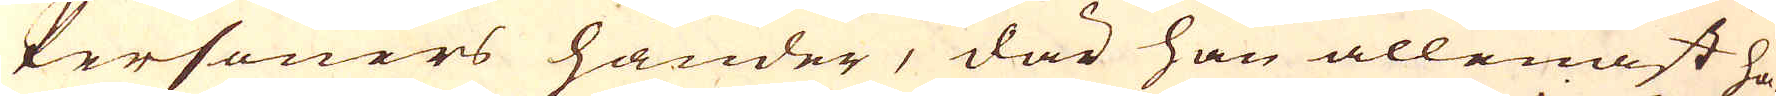Personers händer, där han allenast ha-
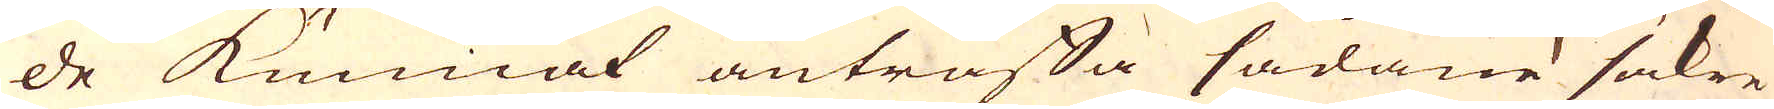de kunnat anträffa sådane säkre
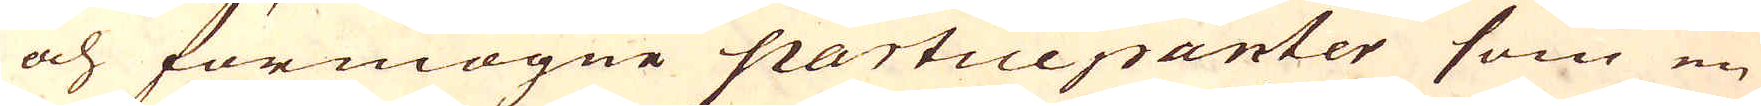och förmögne participanter som en
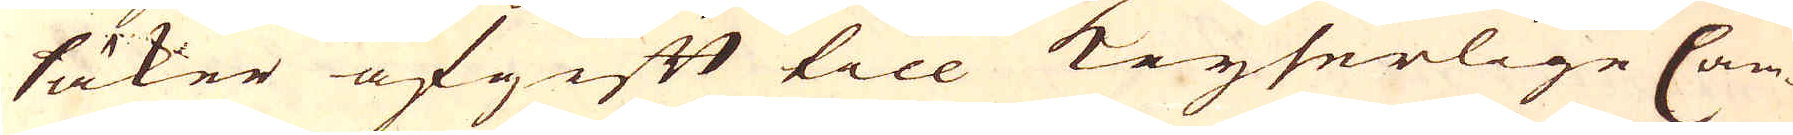säker afgift till Keyserlige Cam-
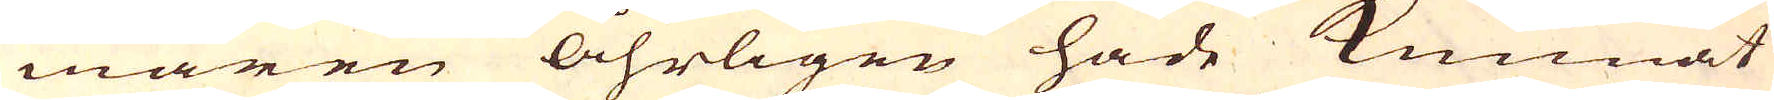maren åhrligen hade kunnat
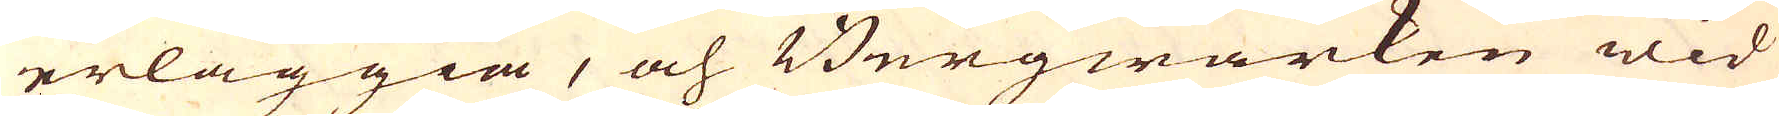erläggia, och Bergwärken wid
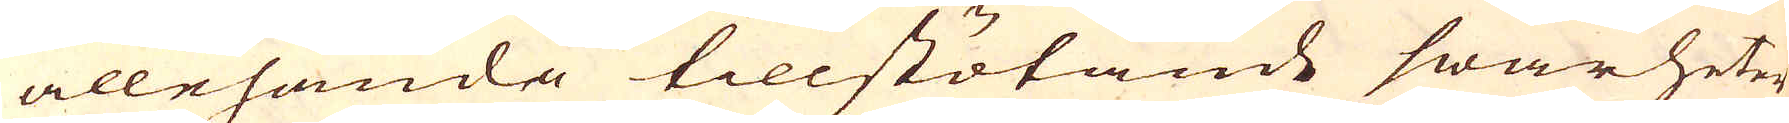allehanda tillstötande swårheter
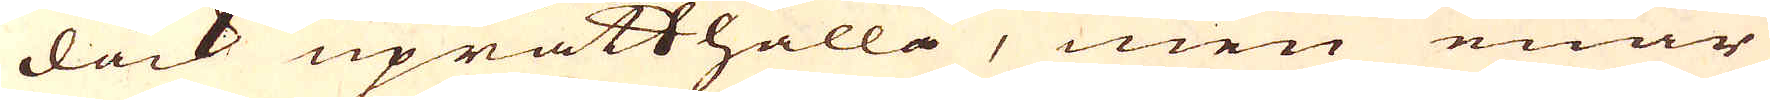dåck uprätthålla, men enär
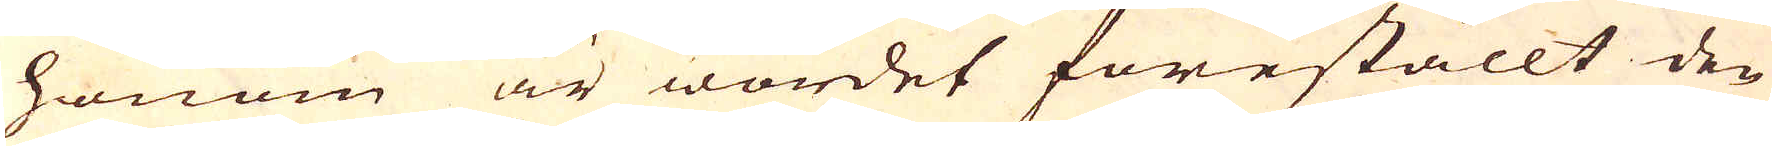honom är wordet föreställt den
